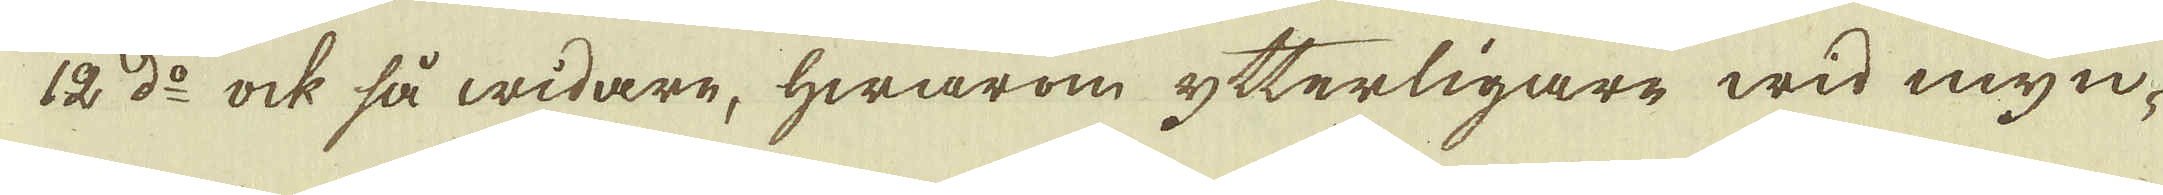12:do ock så widare, hwarom ytterligare wid myn-
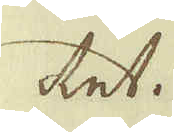tet.
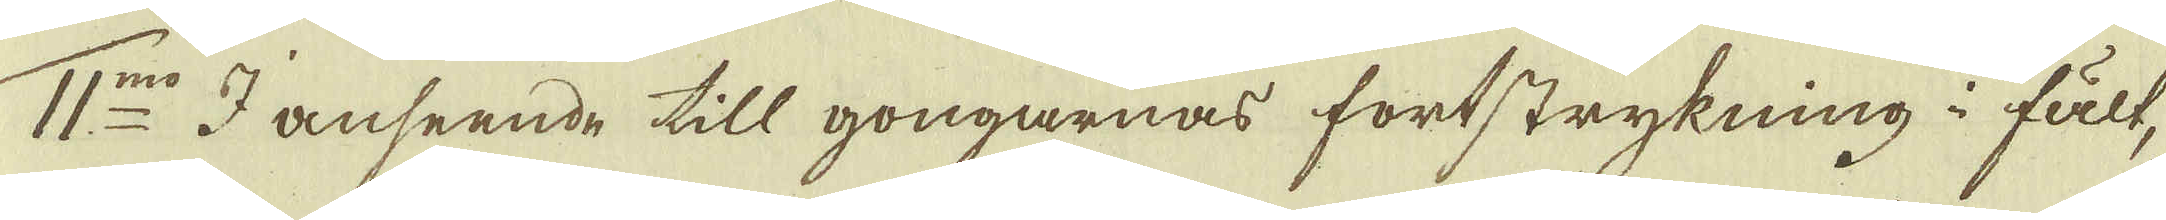11:mo I anseende till gongarnas förtstrykning i fält,
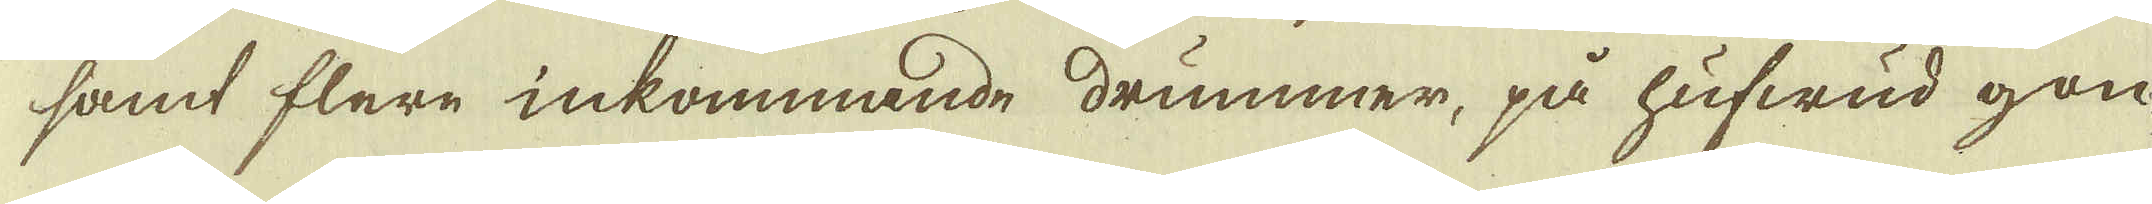samt flere inkommande drummer, på hufwud gon-
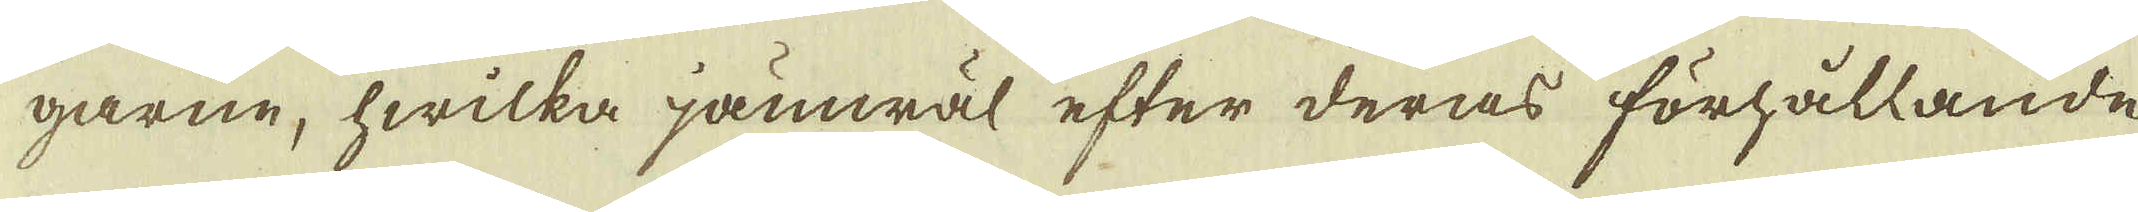garne, hwilka jämwäl efter deras förhållande
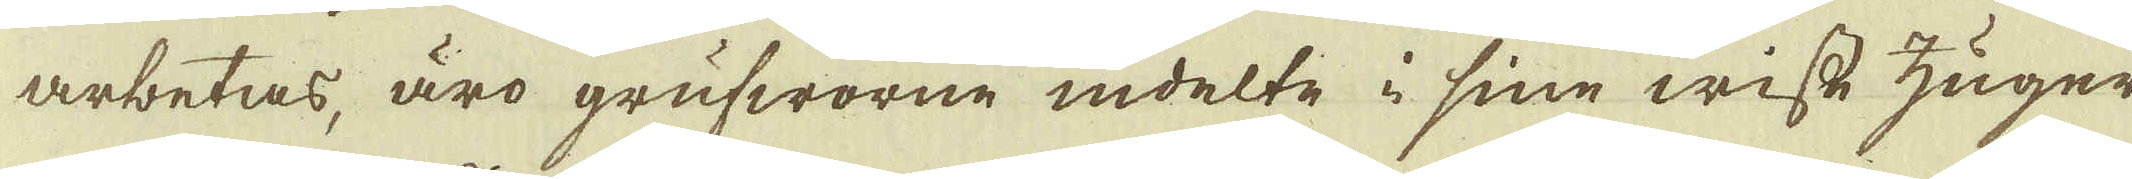arbetas, äro grufworne indelte i sine wisse zuger
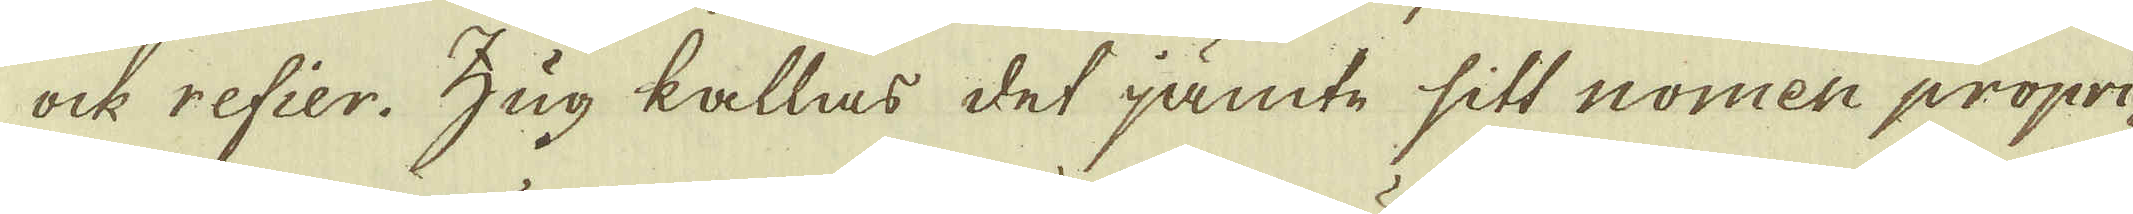ock refier. Zug kallas det jämte sitt nomen propri-
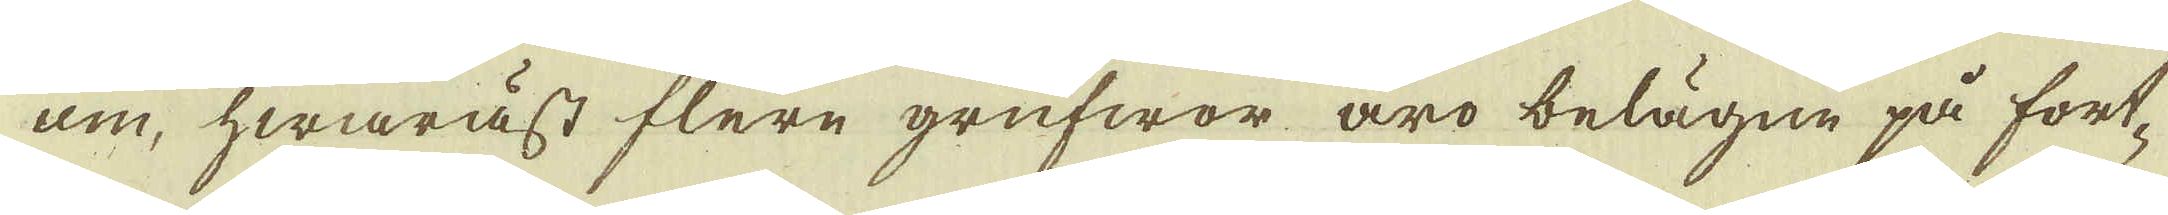um, hwaräst flere grufwor äro belägne på fort-
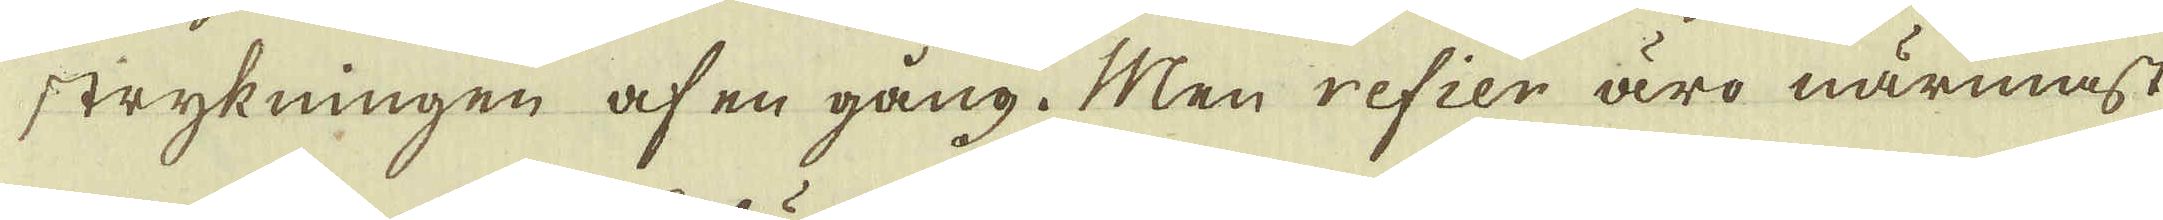strykningen af en gång. Men refier äro närmast
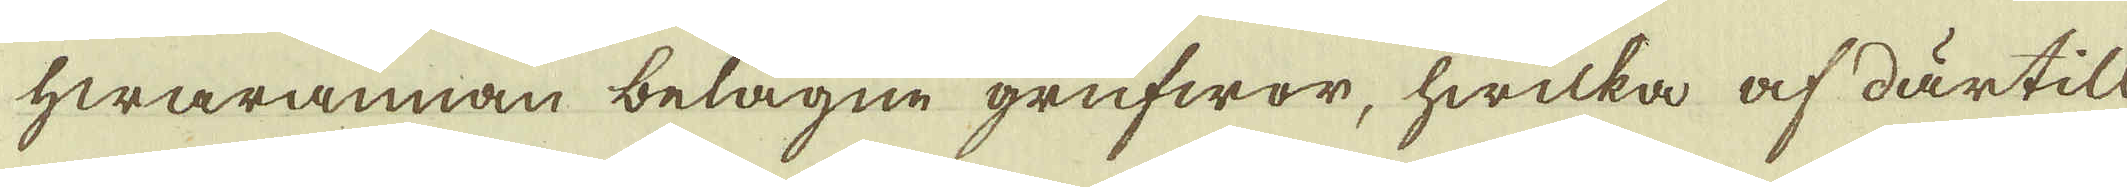hwarannan belägne grufwor, hwilka af därtill
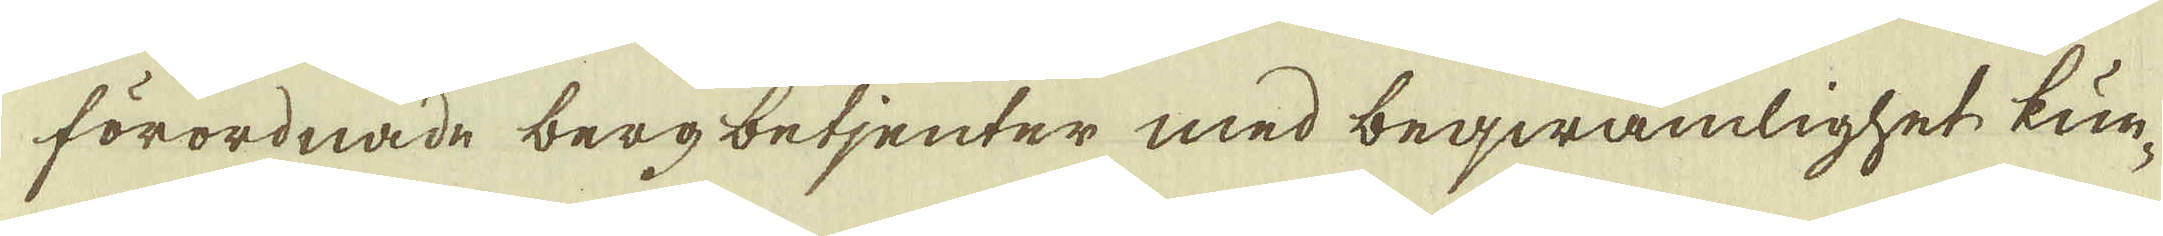förordnade berg betjenter med beqwämlighet kun-
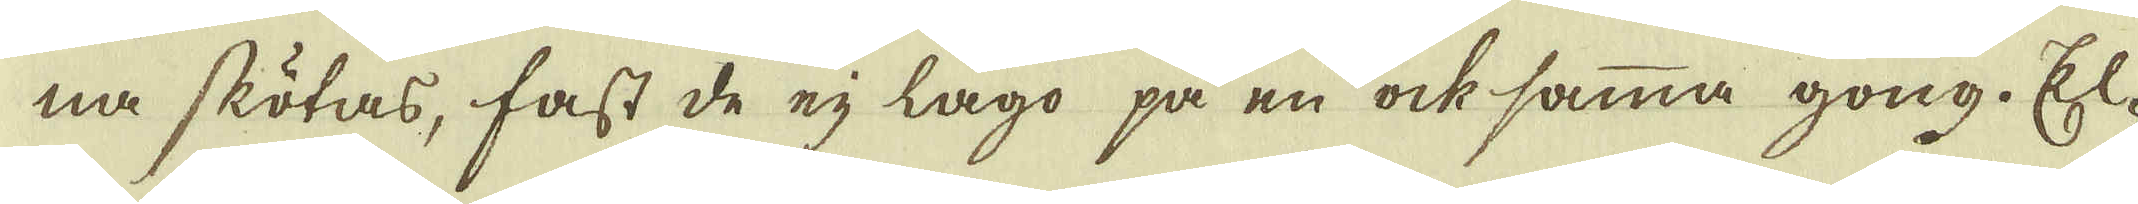na skötas, fast de eij lågo på en ock samma gong. El-
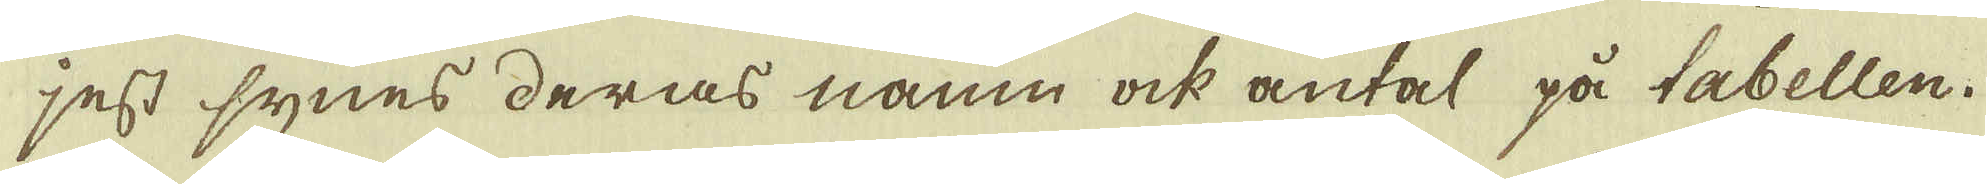jest synes deras namn ock antal på tabellen.
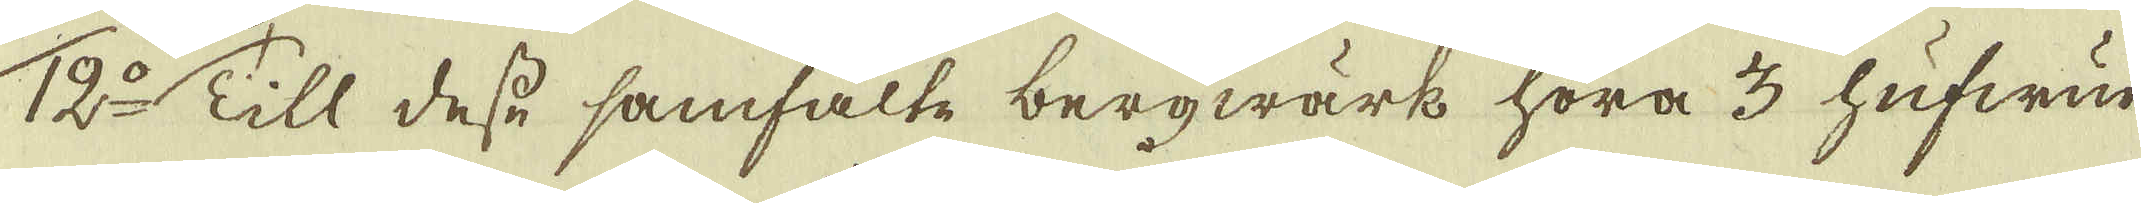12:o Till desse samfalte bergwärk höra 3 hufwud
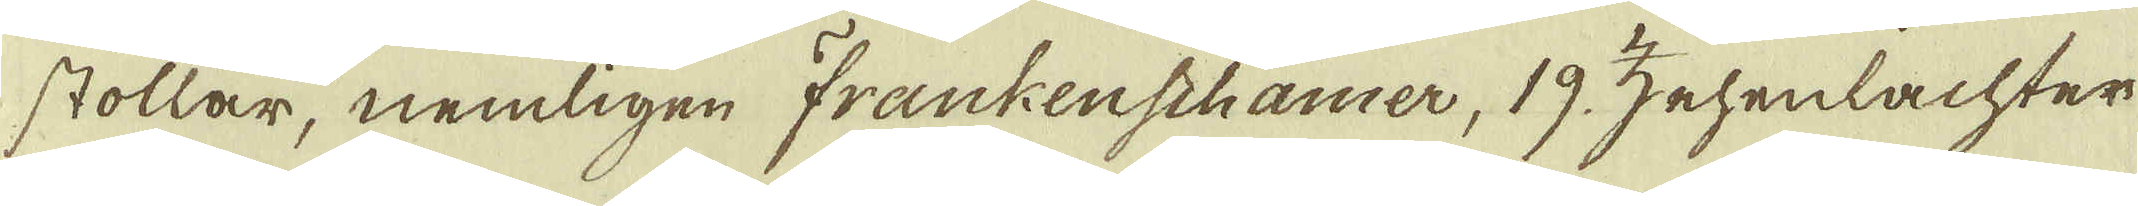stollar, nemligen Trankenschamer, 19 zehenlachter
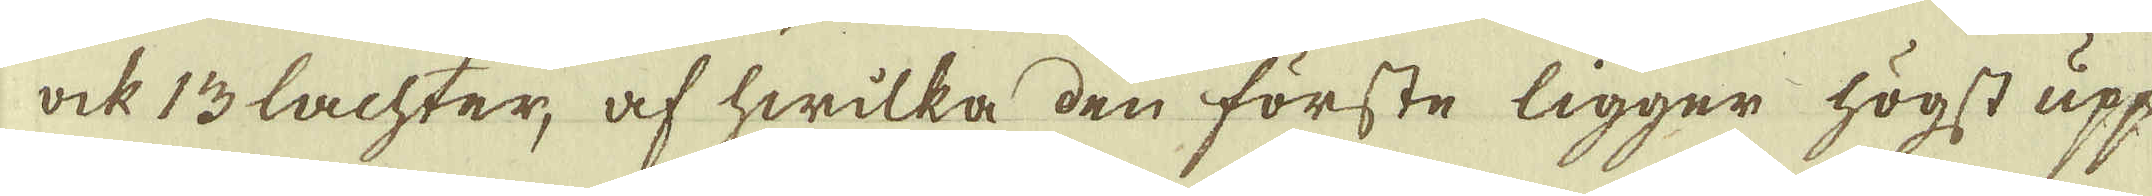ock 13 lachter, af hwilka den förste ligger högst upp
